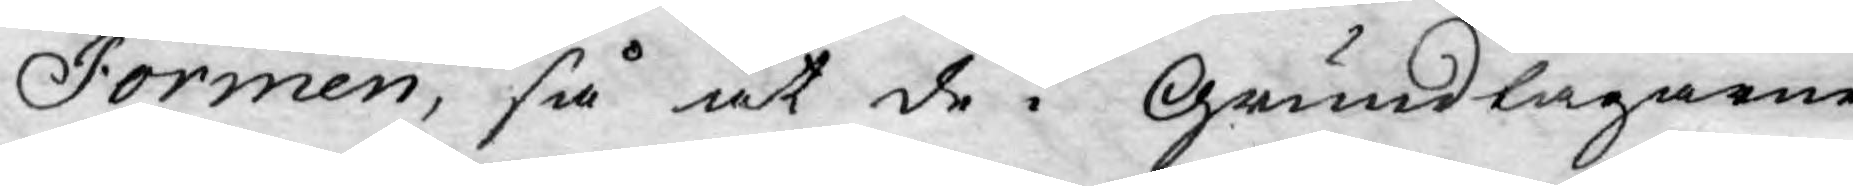Formen, så at de i Grundlagarne
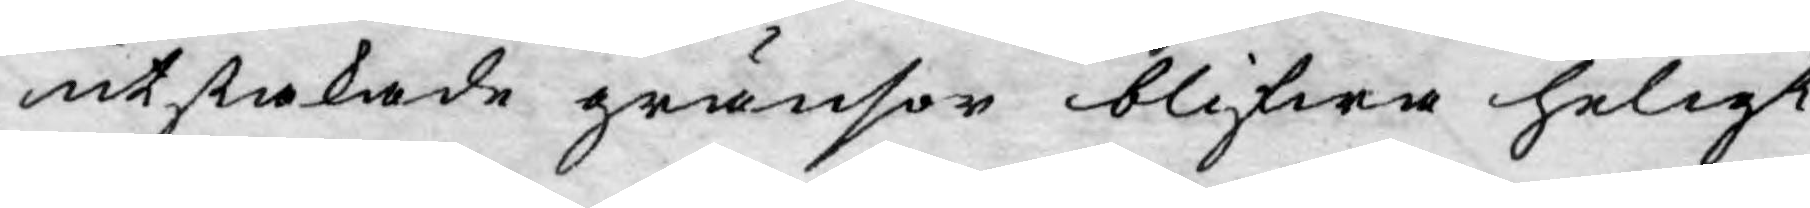utstakade gränsor blifwa heligt
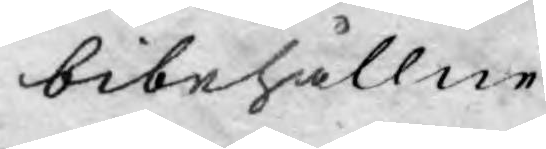bibehållne.
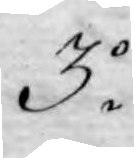3o
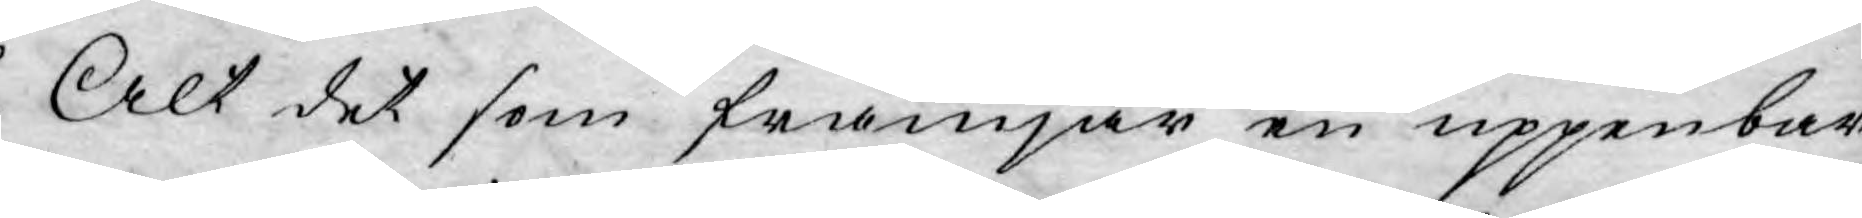Alt det som främjar en uppenbar
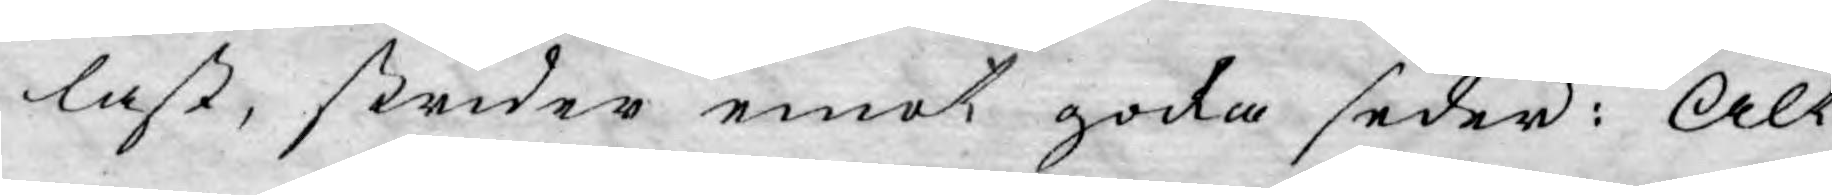last, strider emot goda seder: Alt
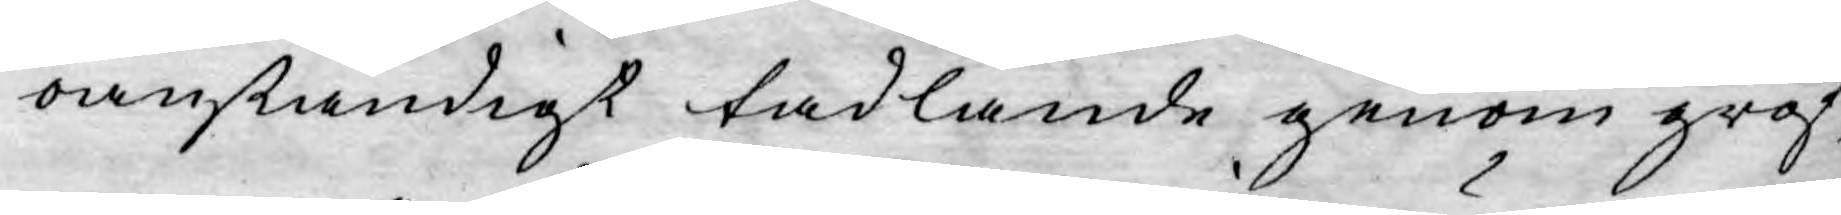oanständigt tadlande genom grof¬
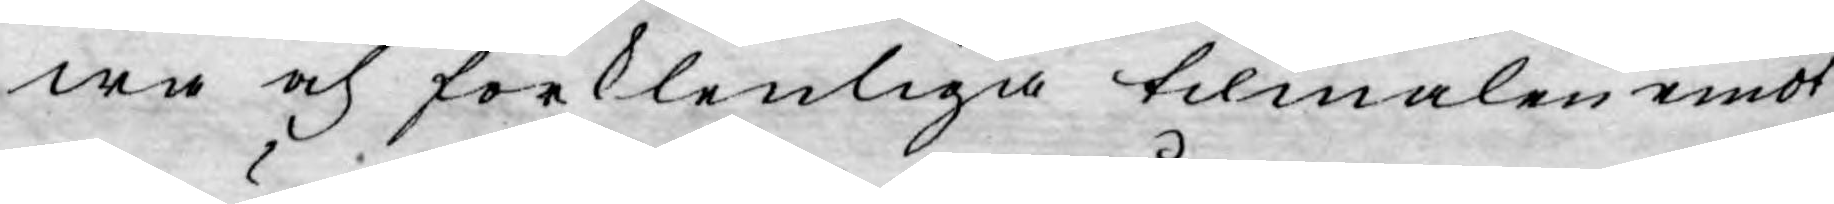wa och förklenliga tilmälen emot
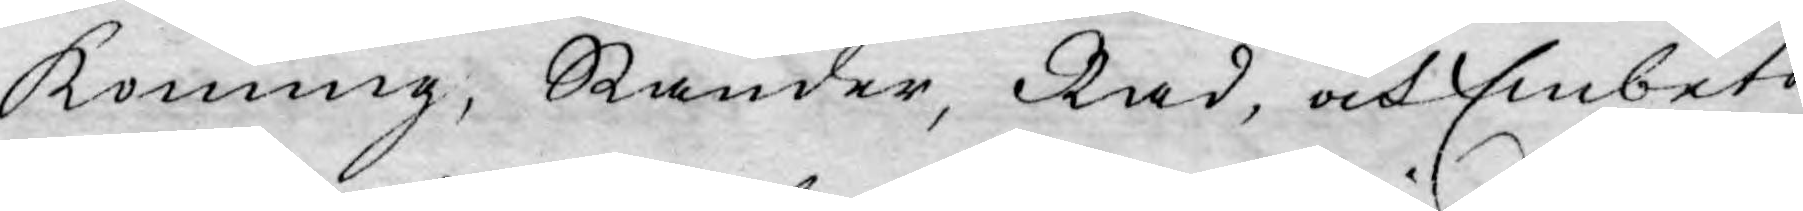Konung, Ständer, Råd, och Embets¬
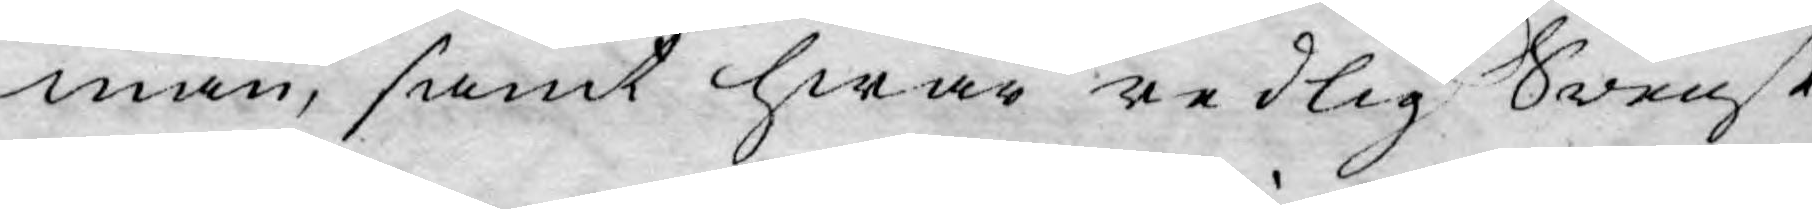män, samt hwar redlig Swensk
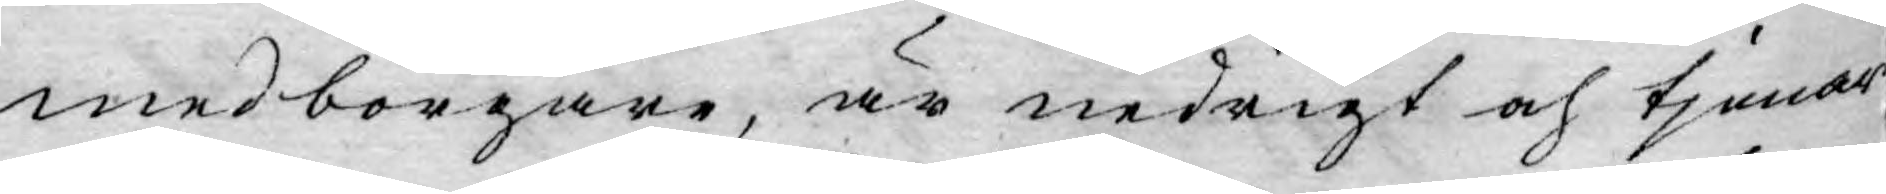medborgare, är nedrigt och tjenar
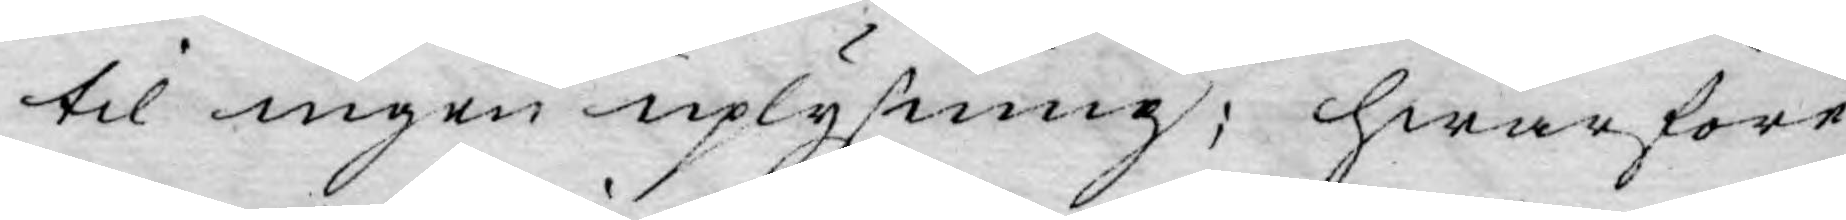til ingen uplysning; hwarföre
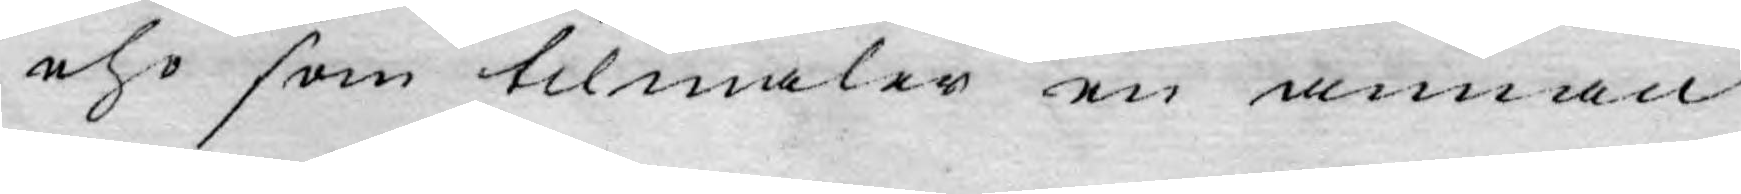eho som tilmäler en annan
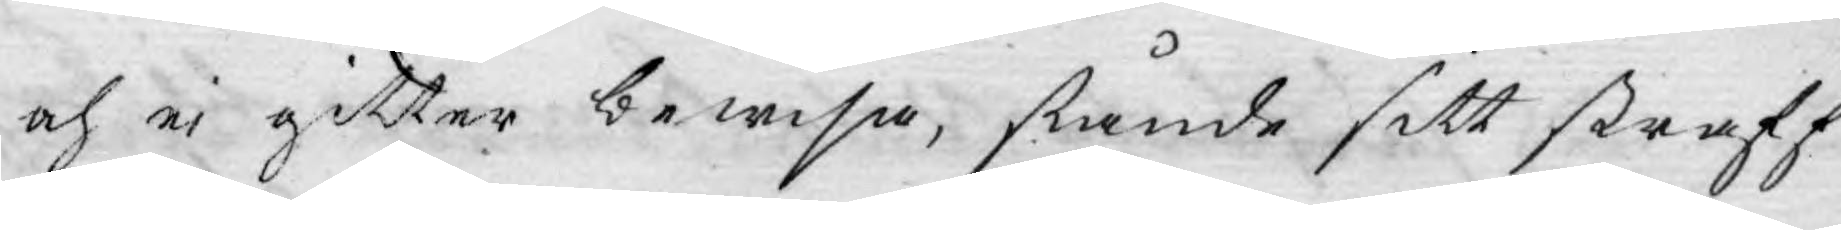och ej gitter bewisa, stånde sitt straff
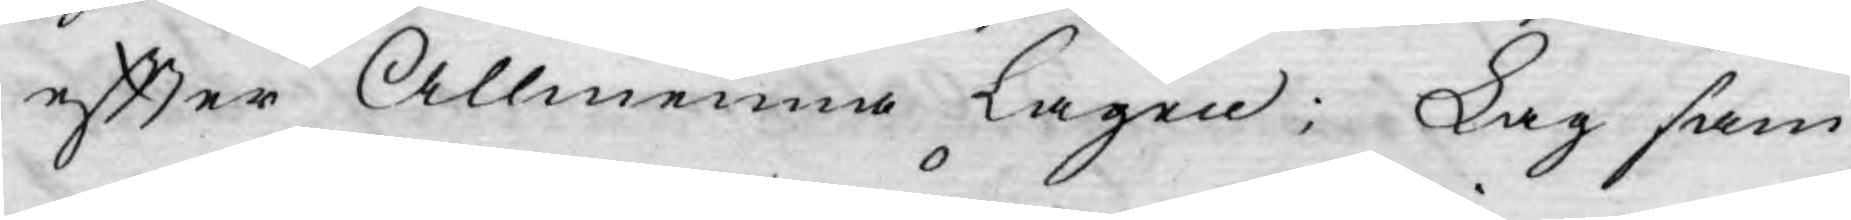efter Allmenna lagen; Lag sam¬
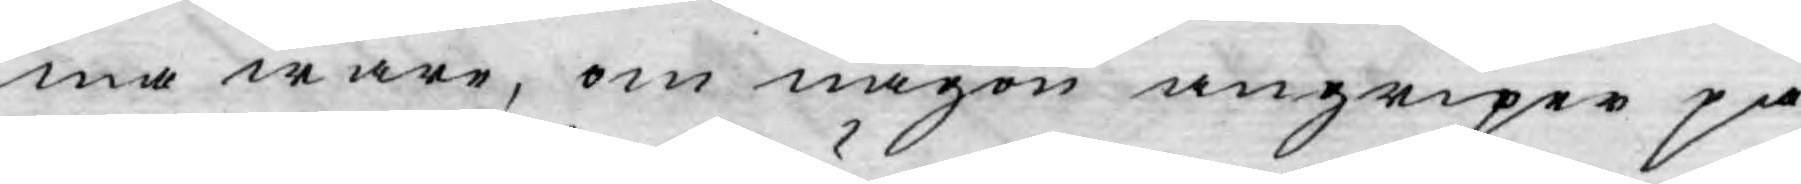ma ware, om någon angriper på
